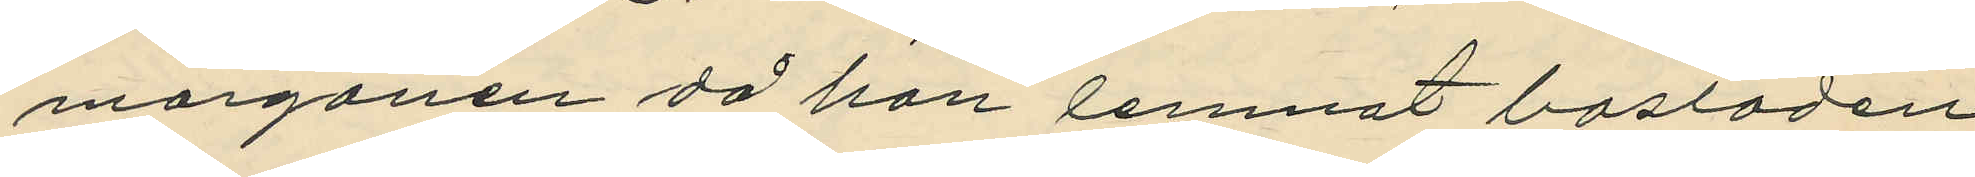morgonen då han lemnat bostaden,
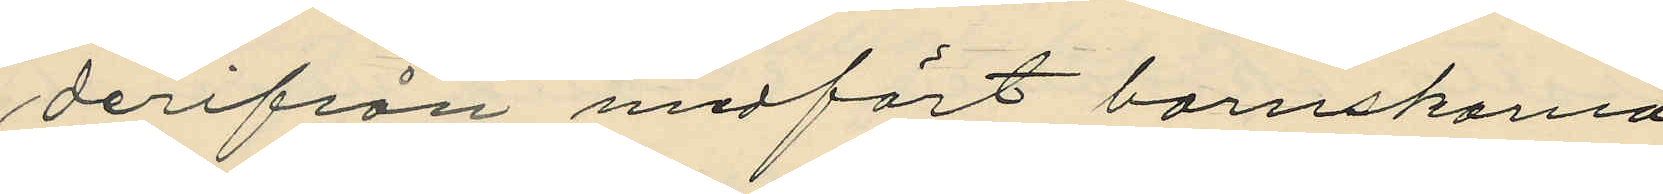derifrån medfört barnskorna;
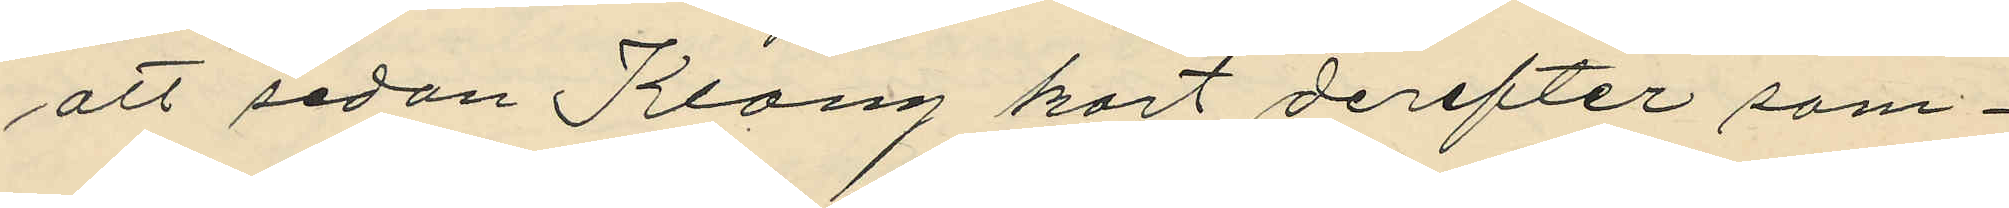att sedan Klang kort derefter sam¬
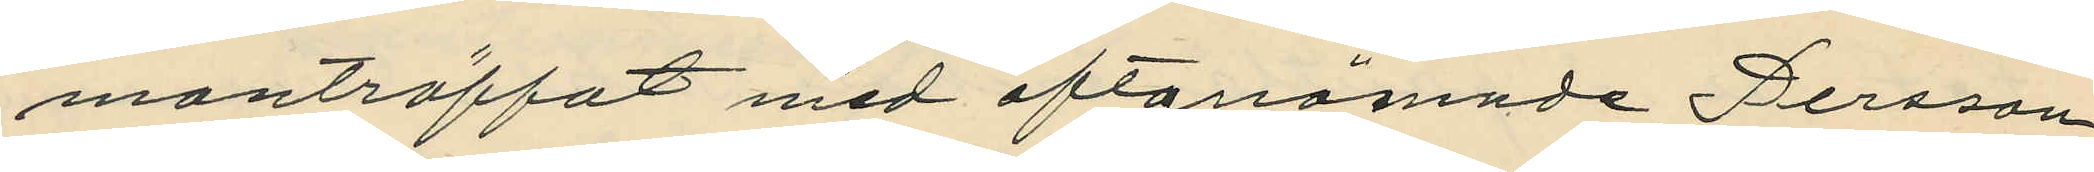manträffat med oftanämnde Persson,
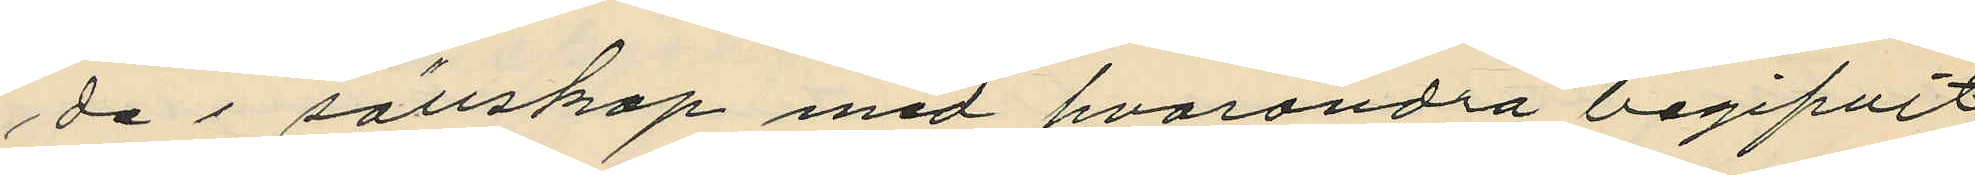de i sällskap med hvarandra begifvit
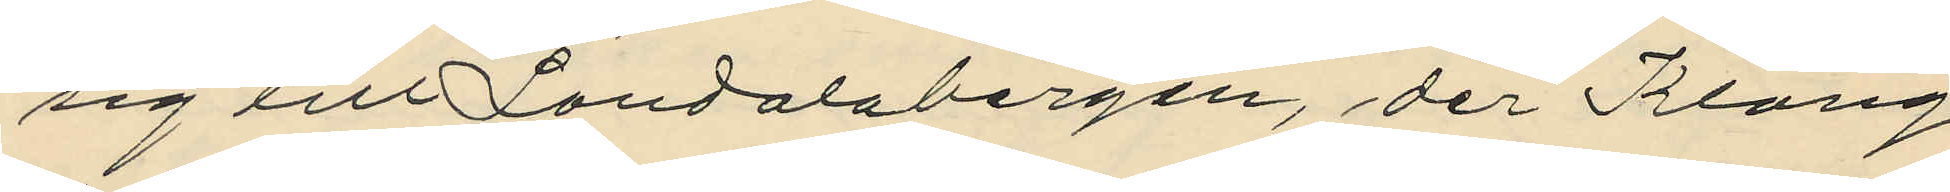sig till Landalabergen, der Klang
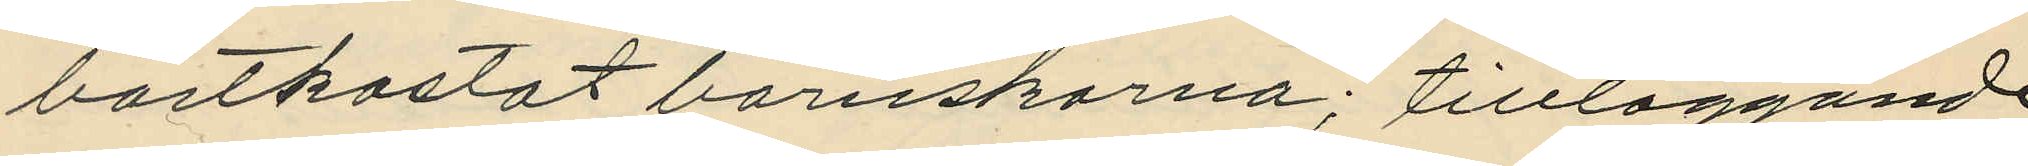bortkastat barnskorna; tillläggande
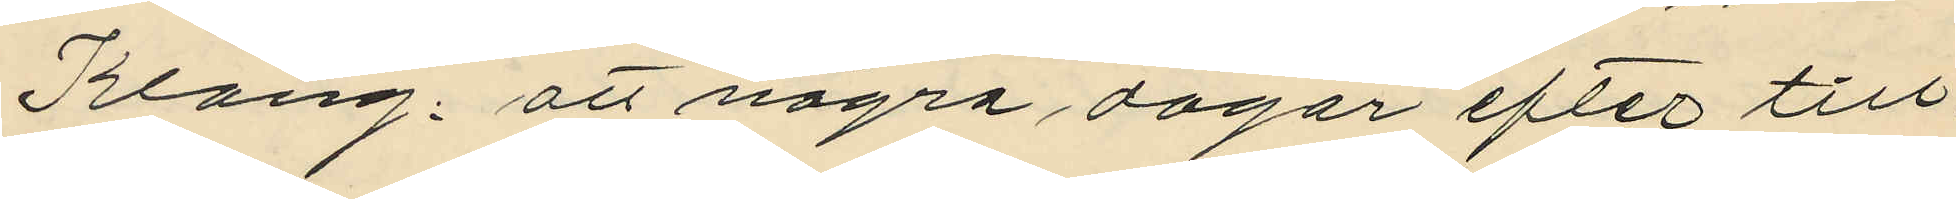Klang, att några dagar efter till¬
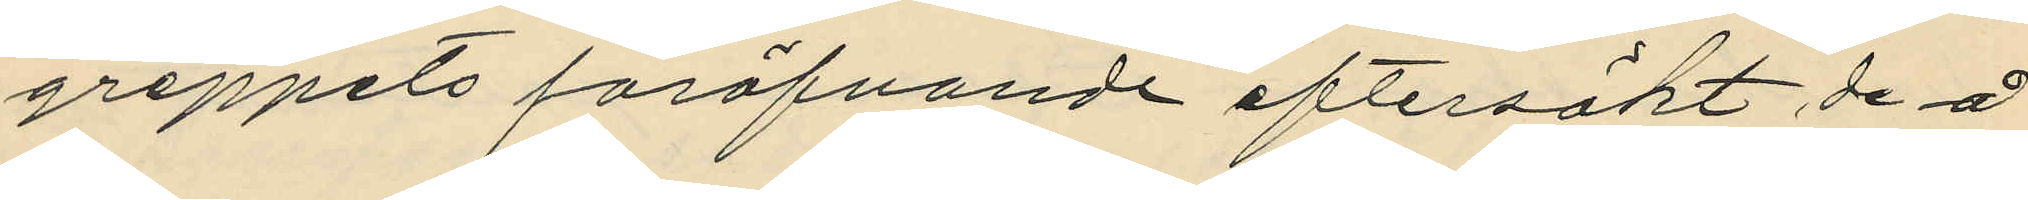greppets föröfvande eftersökt de å
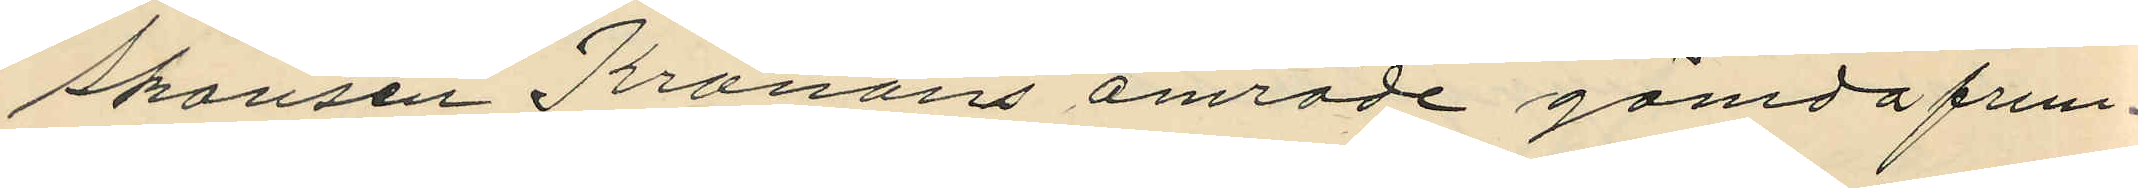Skansen Kronans område gömda frun¬
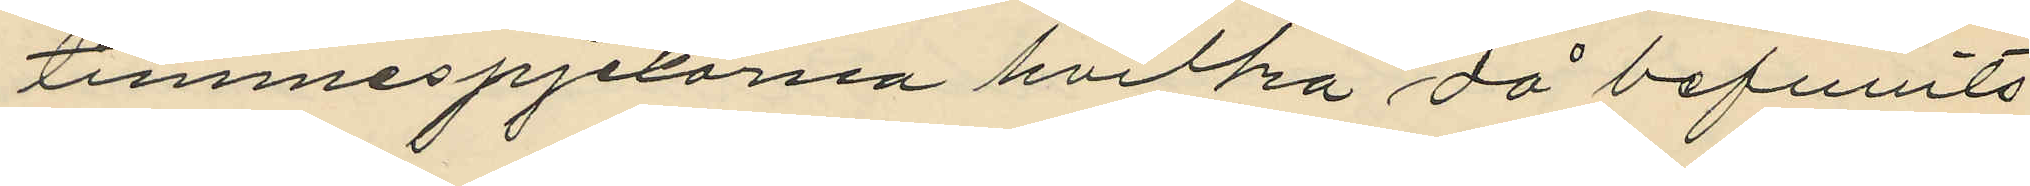timmespjexorna hvilka då befunits
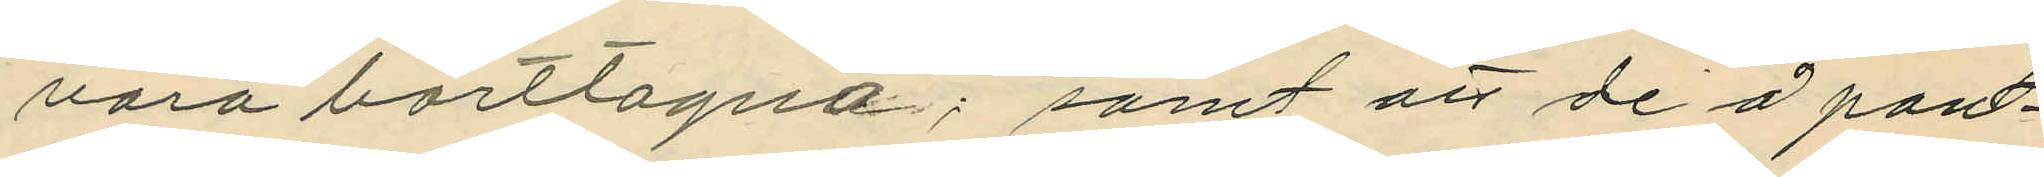vara borttagna; samt att de å pant¬
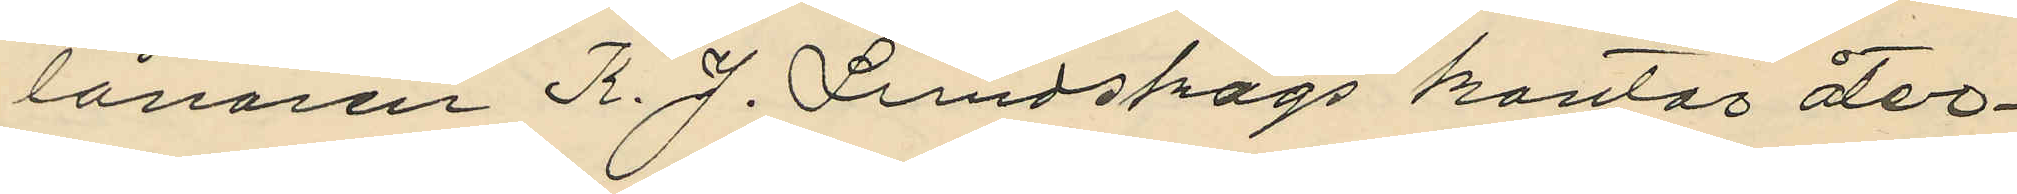lånaren K. J. Lundskogs kontor åter¬
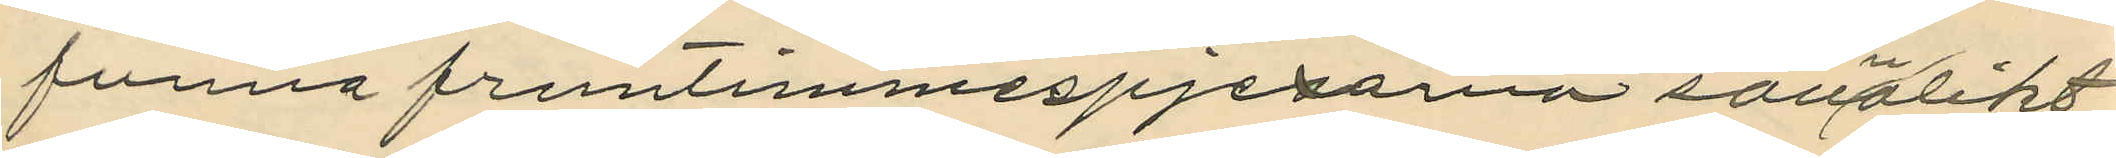funna fruntimmespjexorna sannolikt
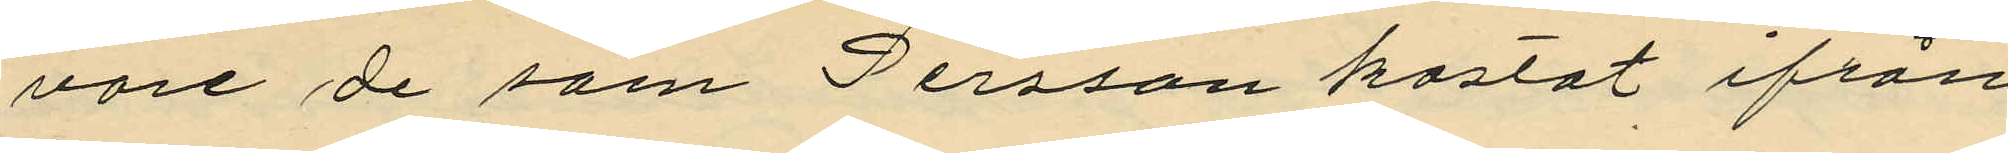vore de som Persson kastat ifrån
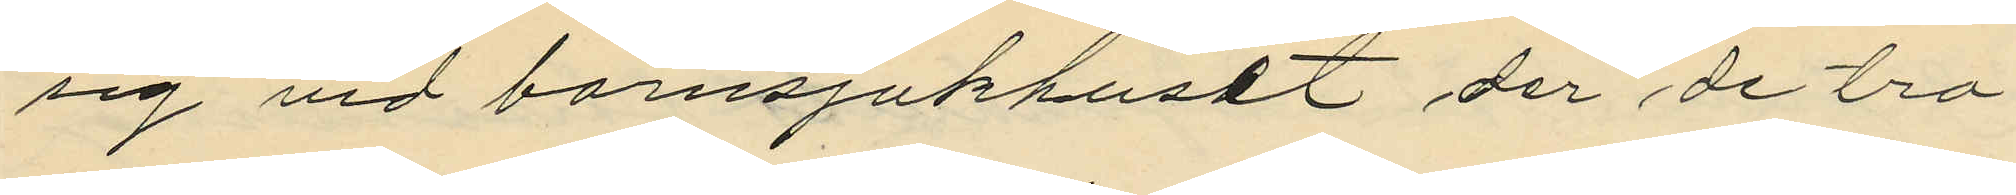sig vid barnsjukhuset der de tro¬
